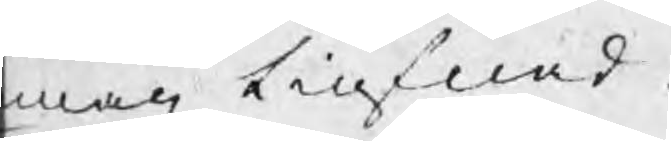man tiufnad.
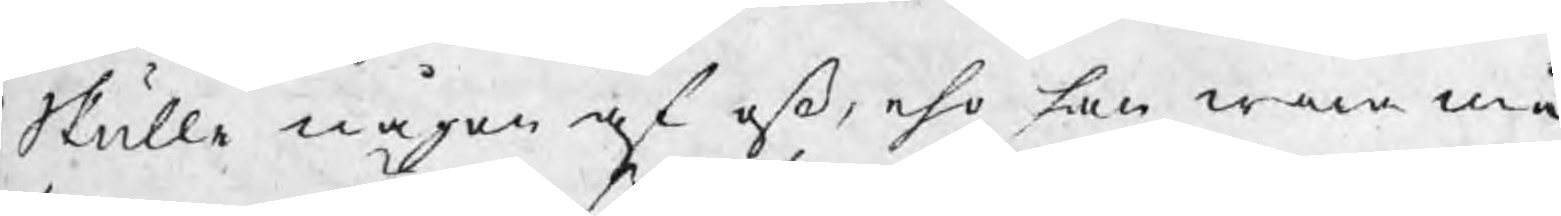Skulle någon af oß, eho han wara må,
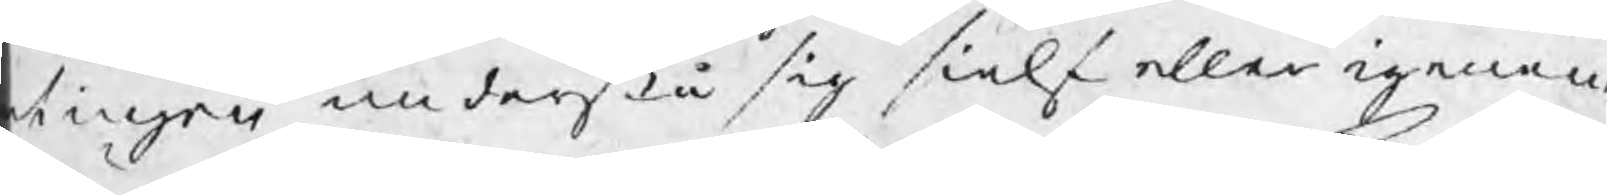tingen understå sig sielf eller igenom
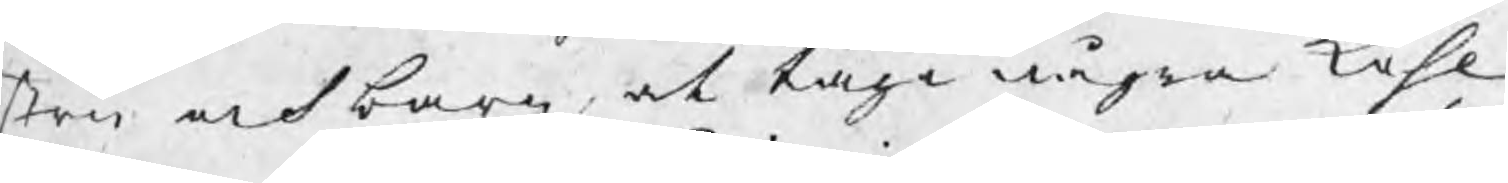stru och barn at taga några kohl
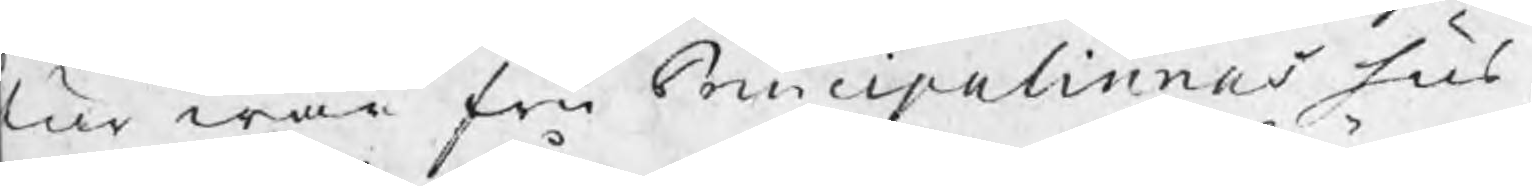tur wår fru Principalinnas hus,
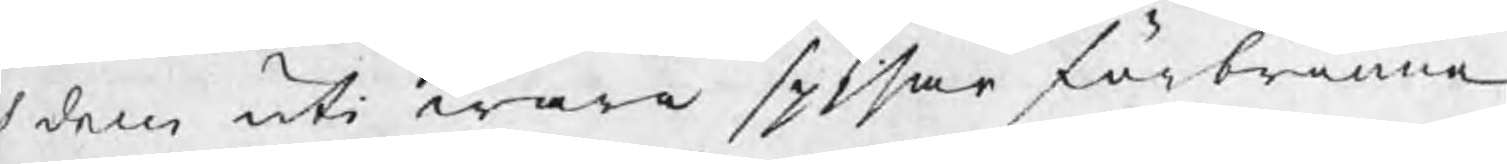h dem uti wåra spisar förbränna,
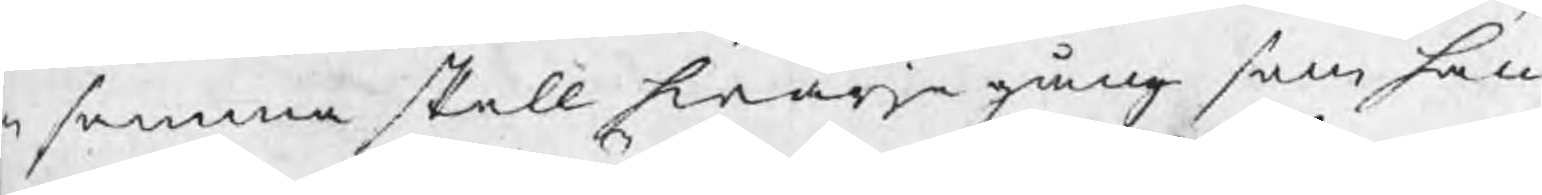n samma skall hwarje gång som han
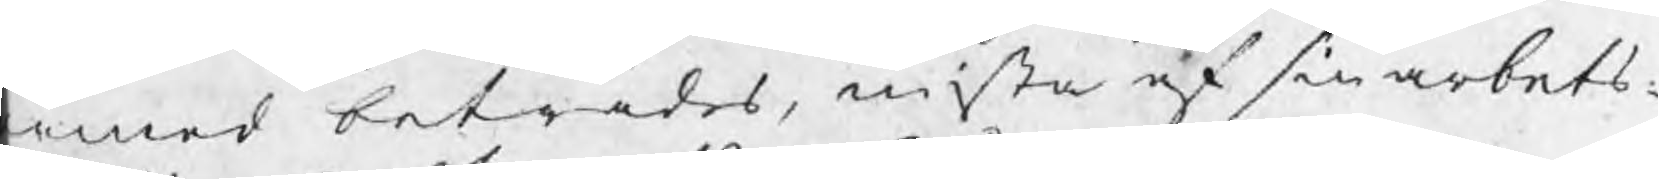rmed beträdes, mista af sin arbets¬
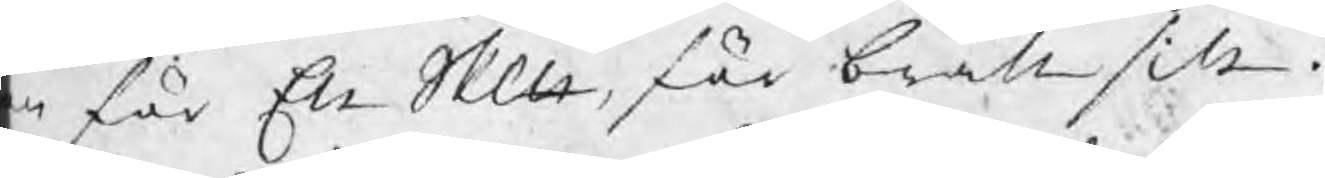n för Ett Skp, för brått sitt.
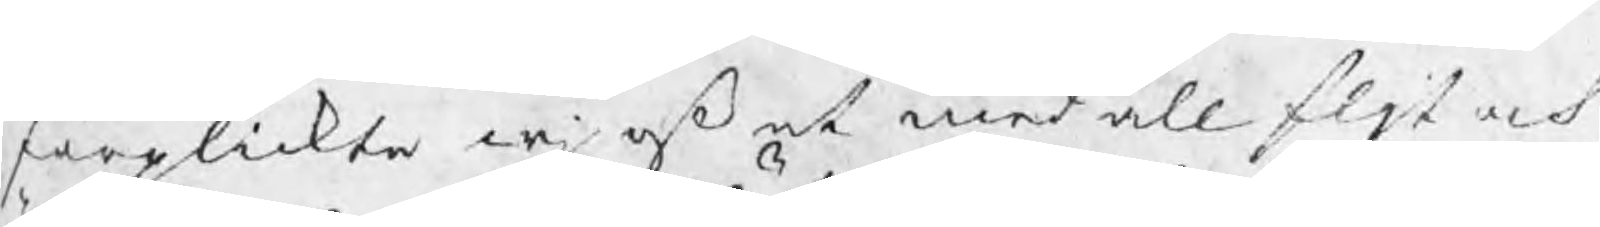förplickta wj oß med all fljt och
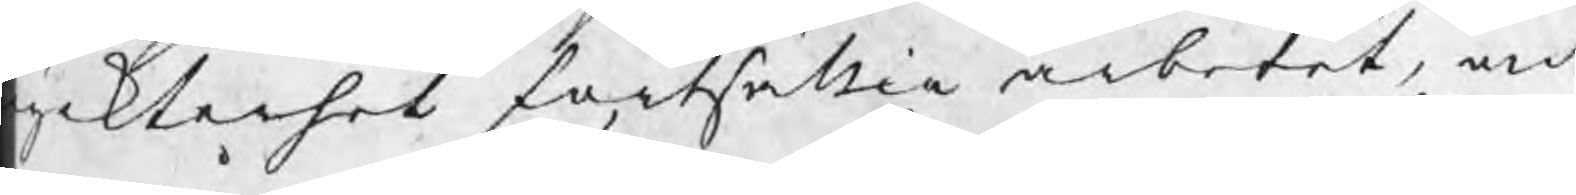yckterhet fortföllia arbetet, och
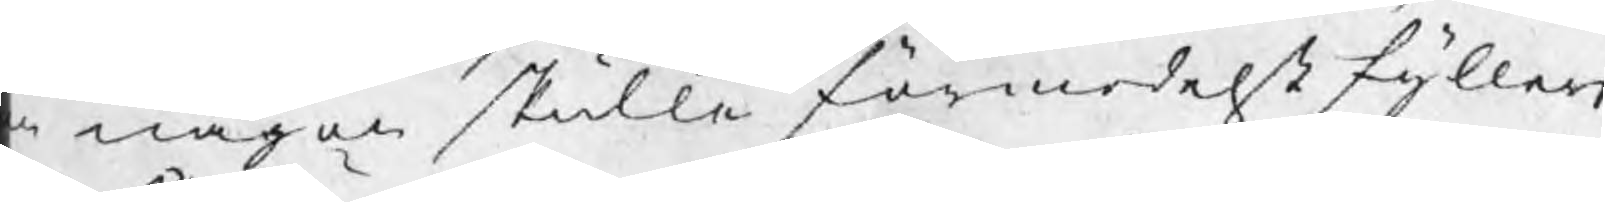m någon skulle förmedelst fylleri
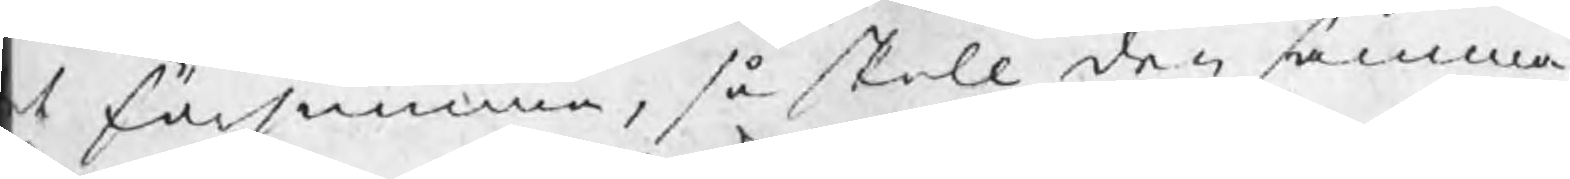t försumma, så skall den samma
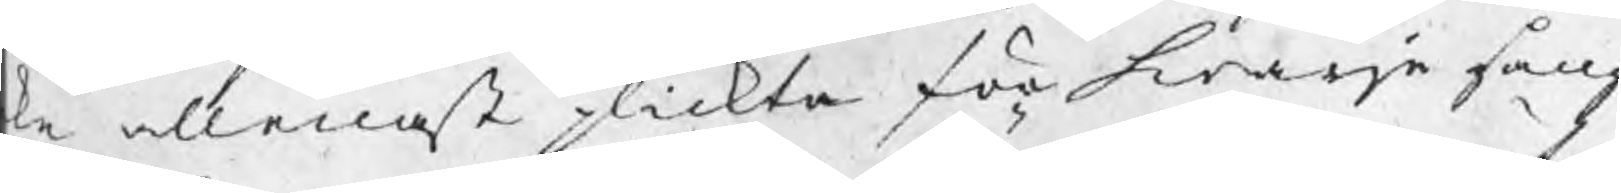ke allenast plickta för hwarje gång
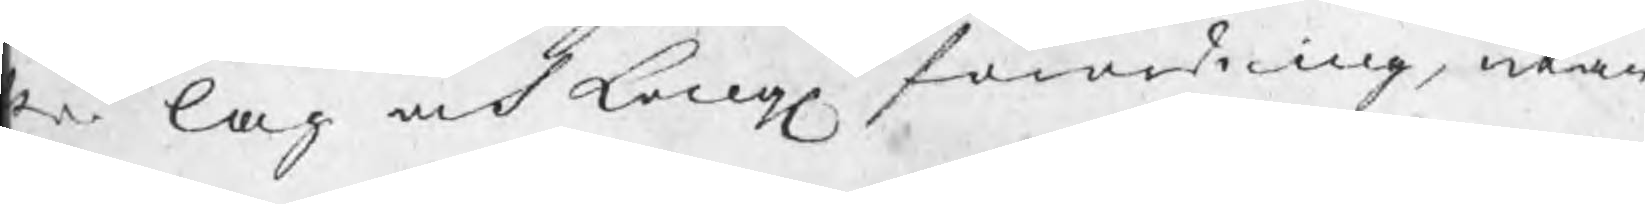er lag och Kongl förordning, utan
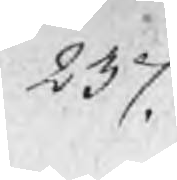237.
